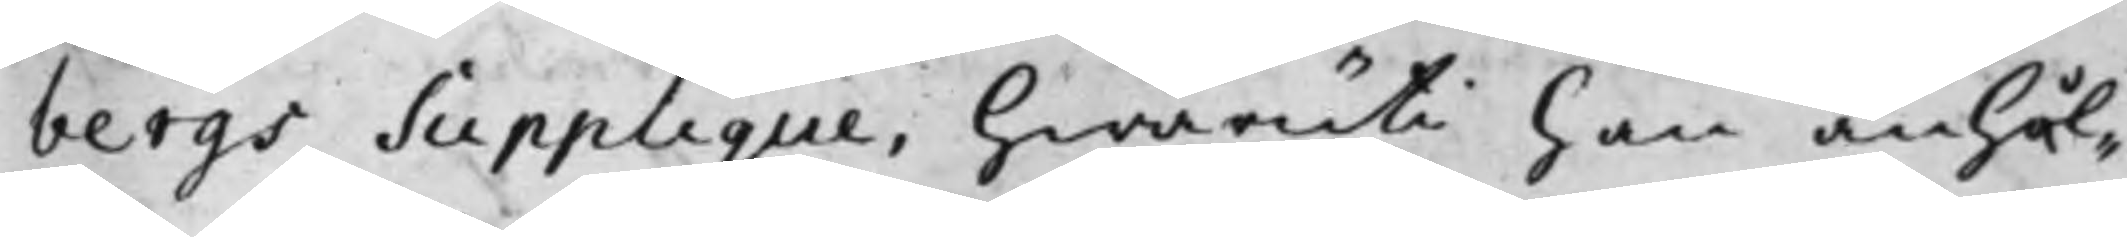bergs Supplique, Hwaruti han anhål¬
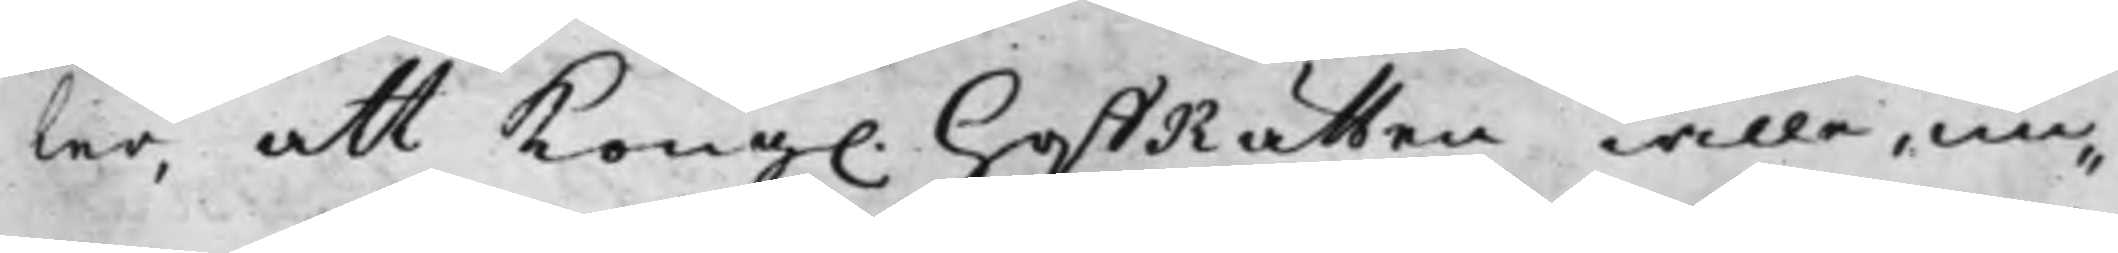ler, att Kong. HoffRätten wille, un¬
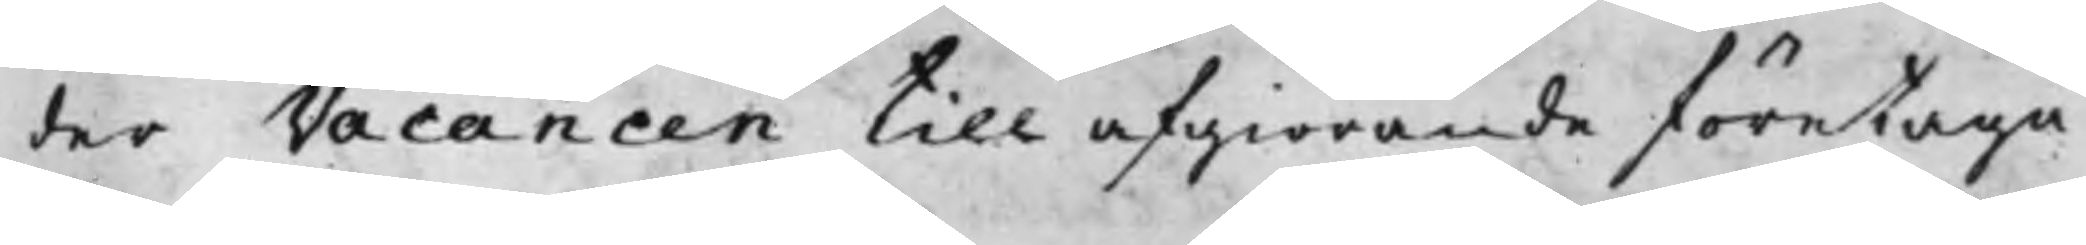der Vacancen till afgiörande företaga
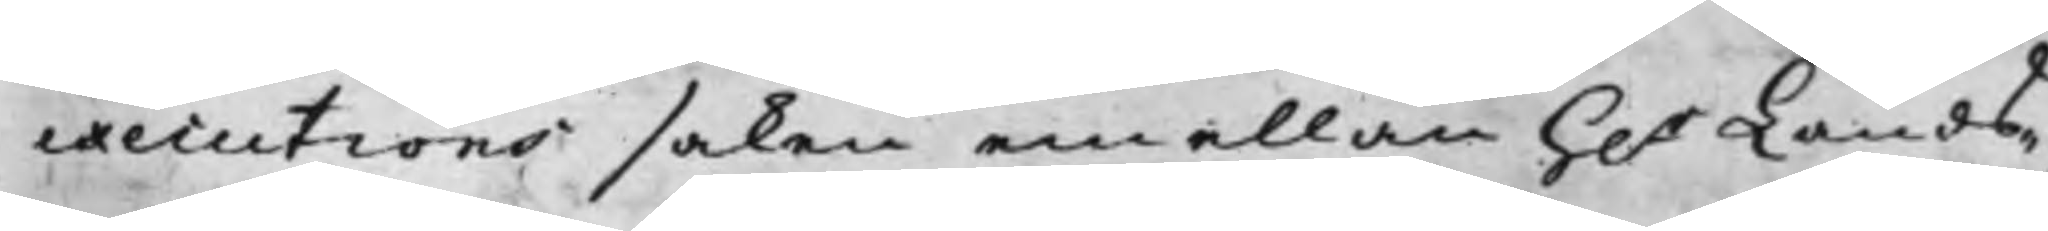executions saken emellan H.r Lands¬
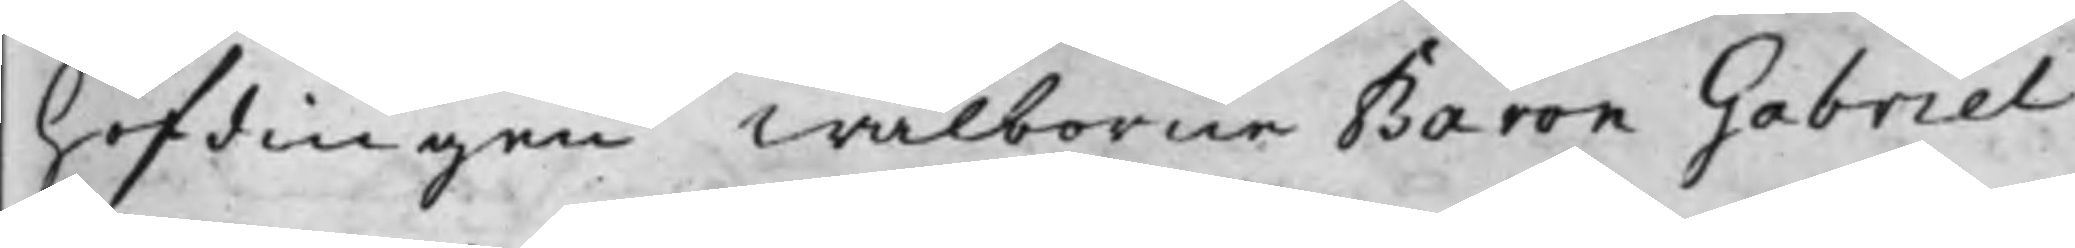höfdingen Wälborne Baron Gabriel
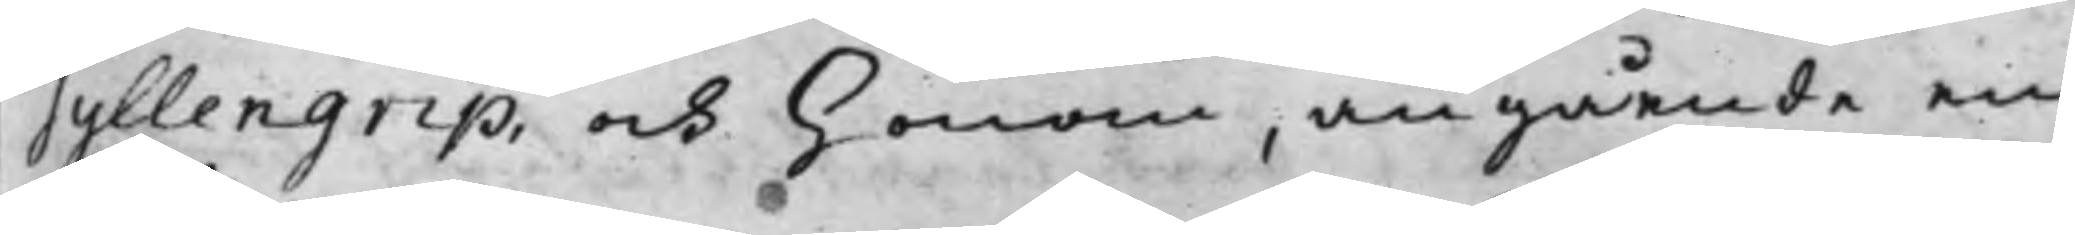Gyllengrip, och honom, angående en
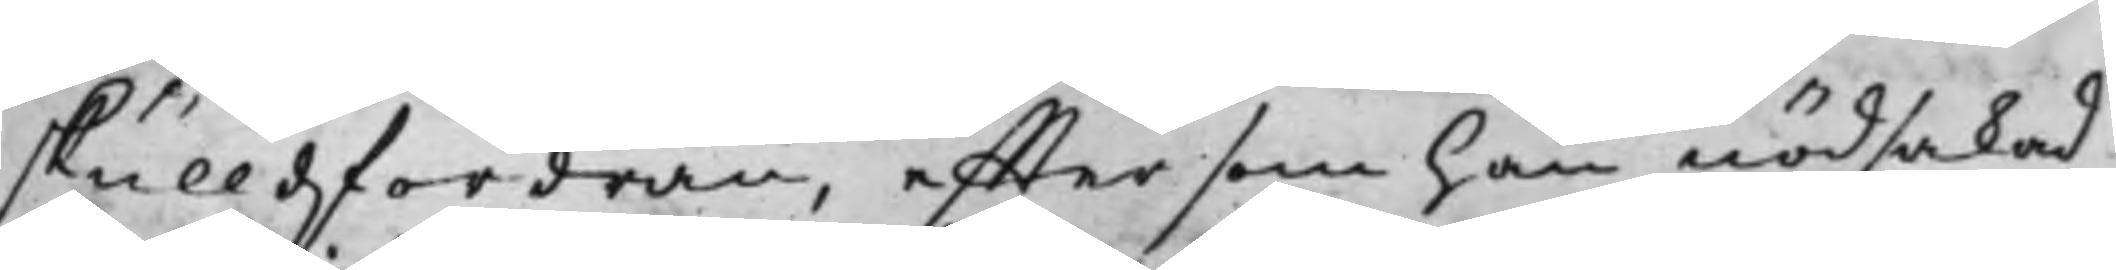skulldfordran, effter som han nödsakad
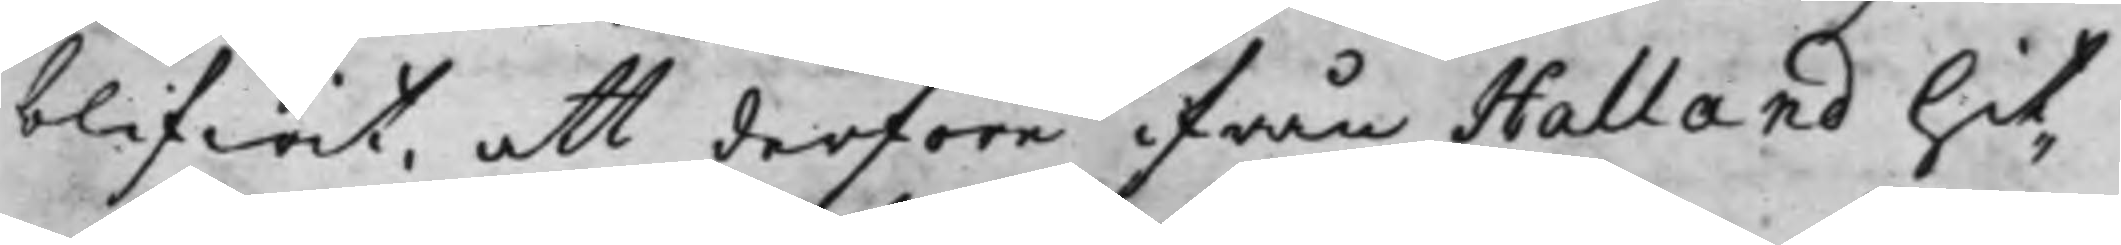blifwit, att derföre ifrån Halland hit¬
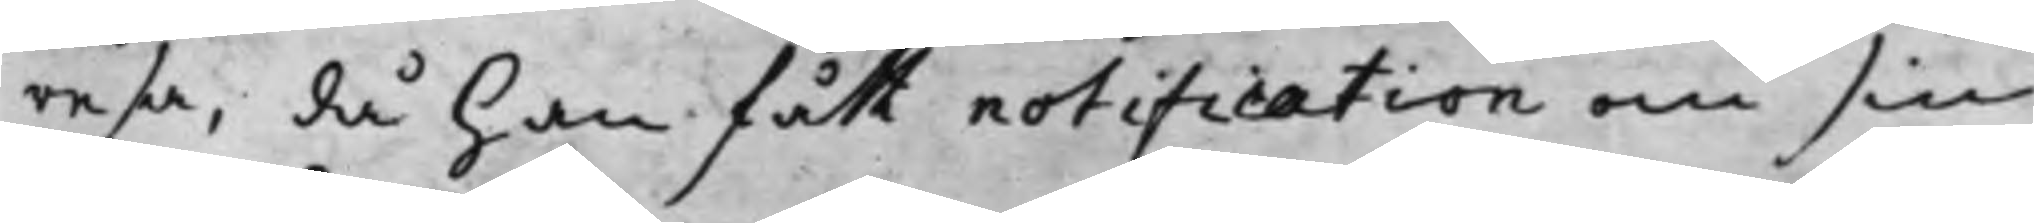resa, då han fått notifictation om sin
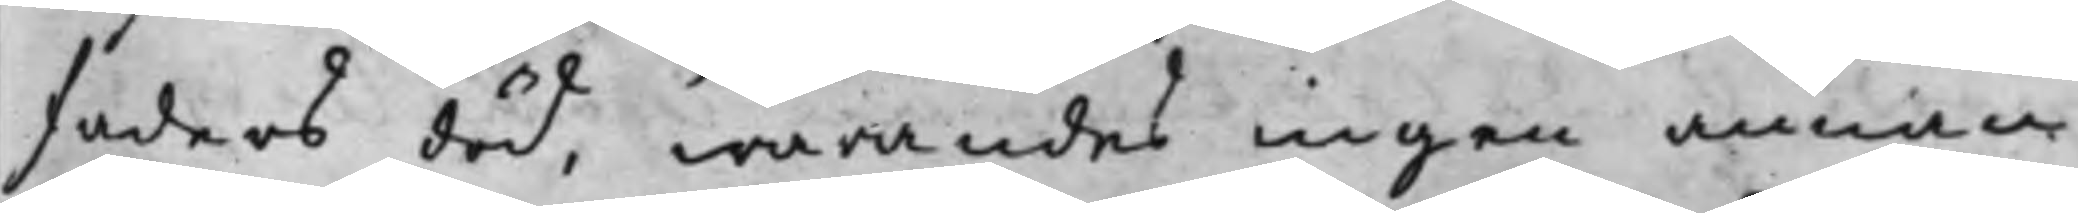Faders död, warandes ingen annan
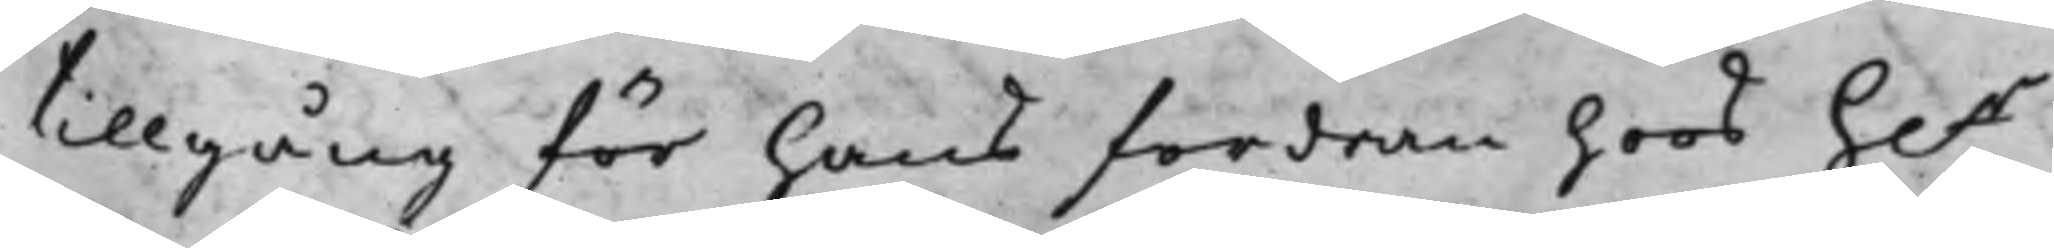tillgång för hans fordran hoos h.r
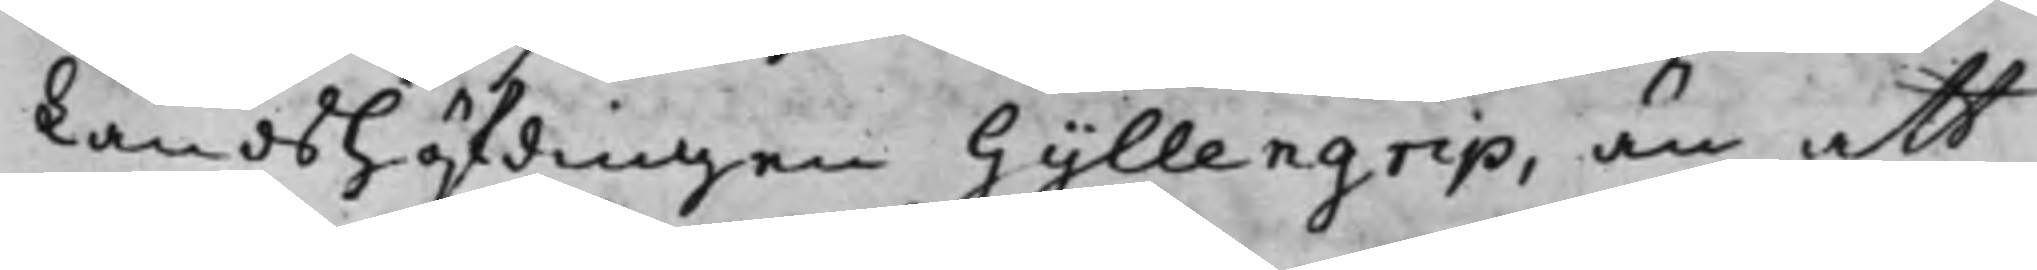Landshöfdingen Gyllengrip, än att
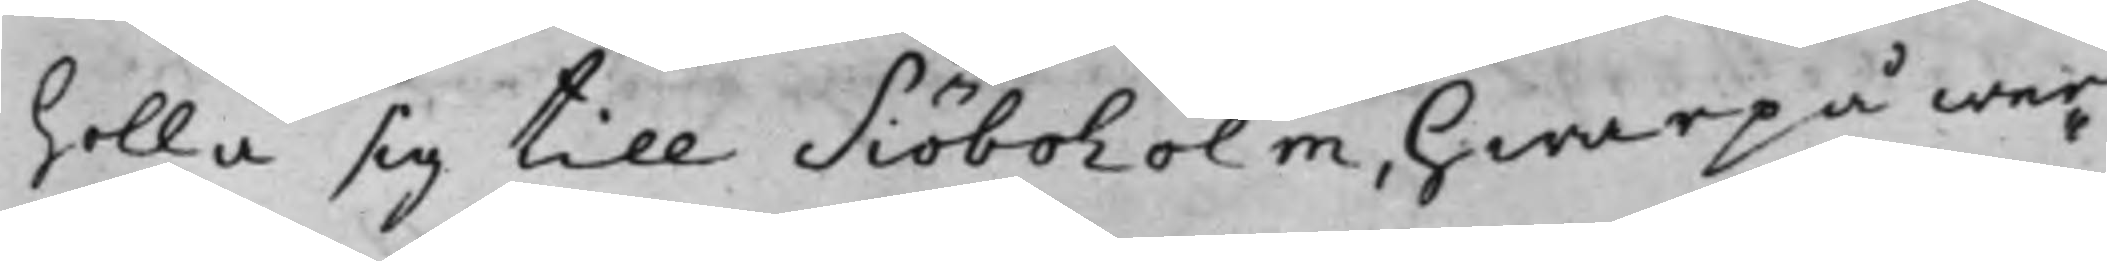holla sig till Siöboholm, hwarpå war¬
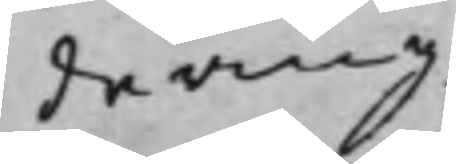dering
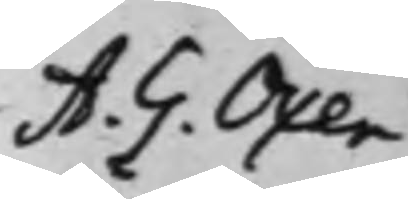A. G. Oxen¬
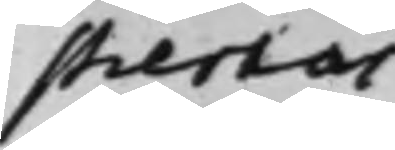stiernas
